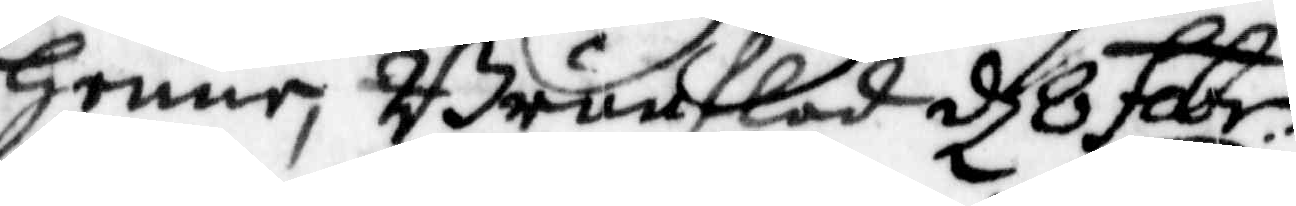Henne, Brunflod d 8 febr:
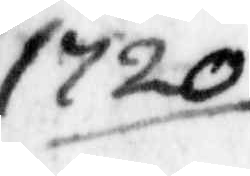1720
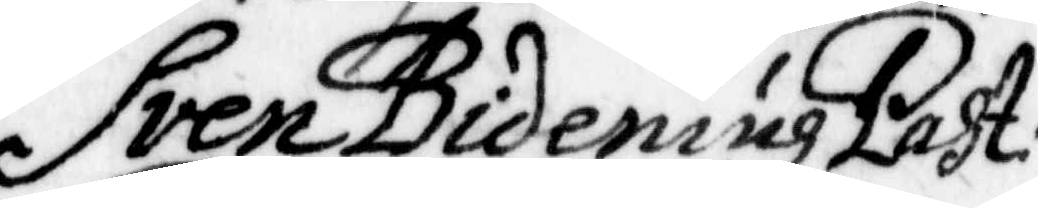Sven Bideniuh Past:
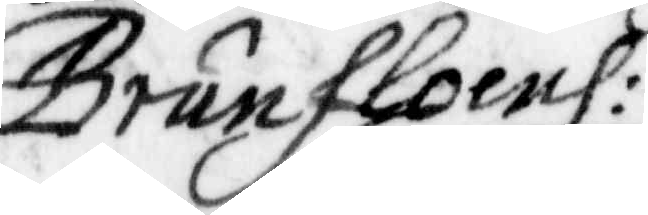Brunfloenh:
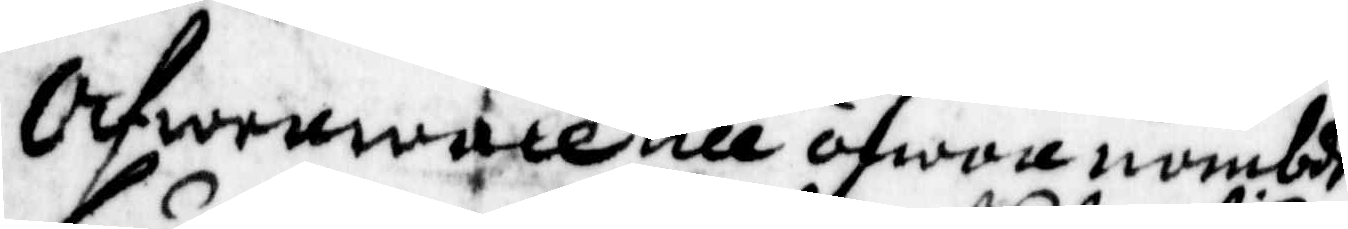Äfwenwäll till åfwan nämbde
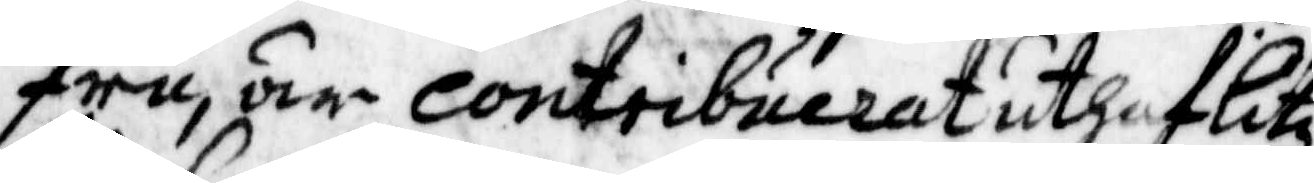fru, är contribuerat uthaf litz
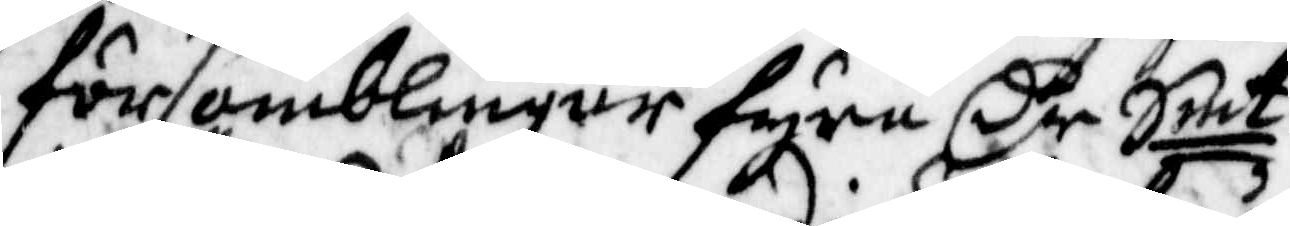församblingar fyra Cr Smt
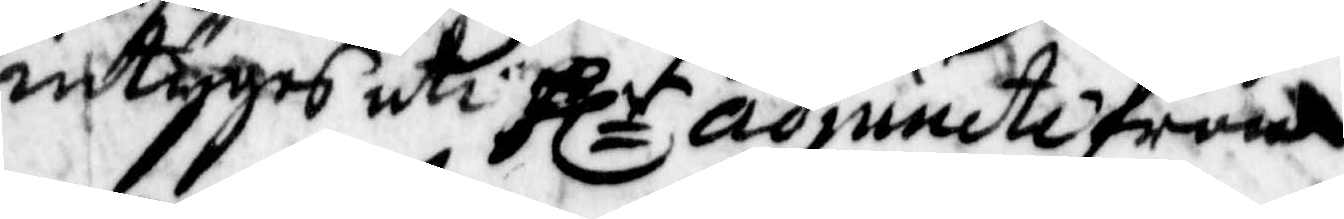intyges uti Hlr adjuncte från¬
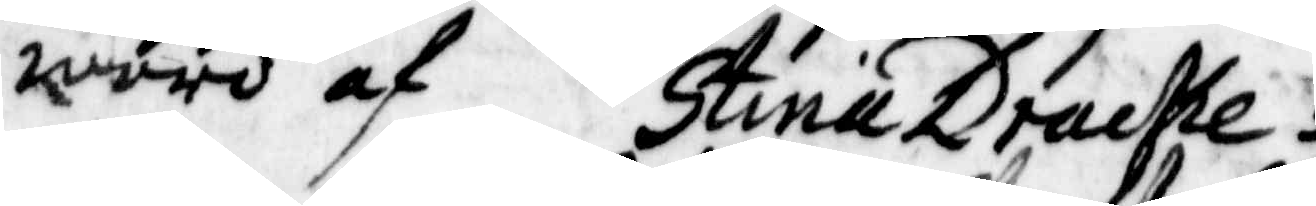waro af Stina Drache
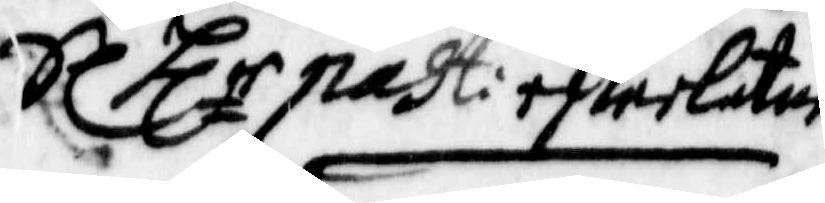Sl Hlr past: efterlåtne
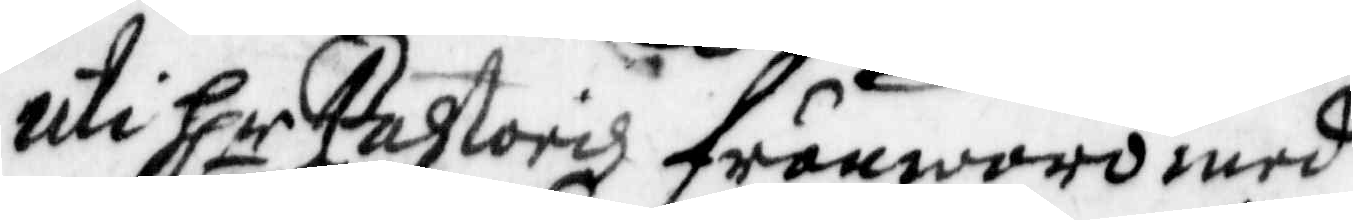uti Hlr Pastoris frånwaro med¬
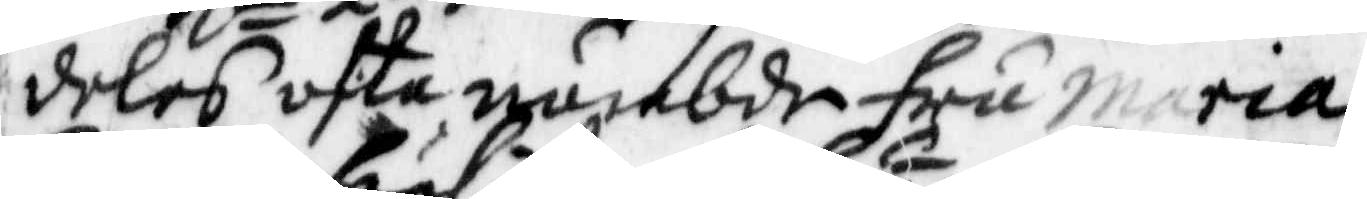deles ofta nämbde fru Maria
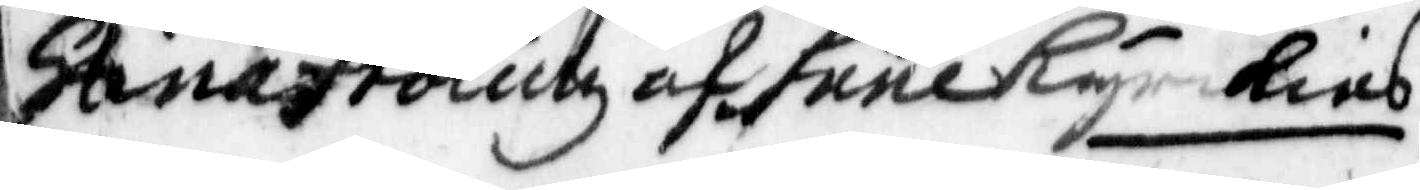Stina frölichz af hene Kyrckias
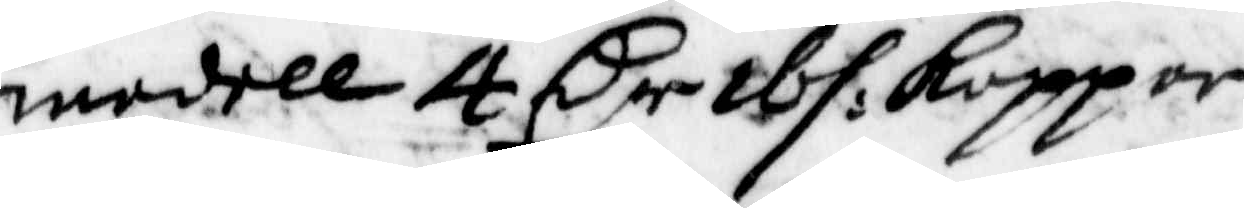medell 4 Cr ibs: Koppar
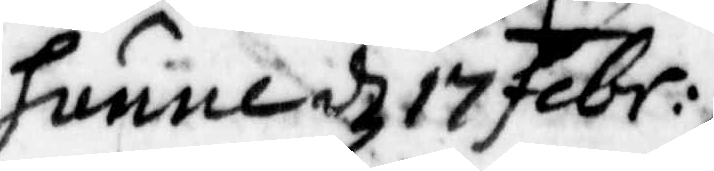hunne d 17 febr:
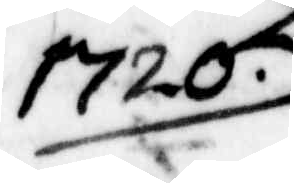1720.
